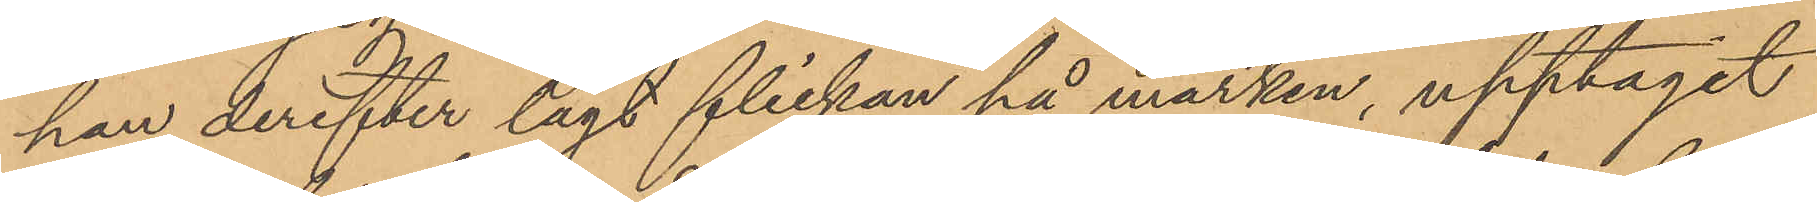han derefter lagt flickan på marken, upptagit
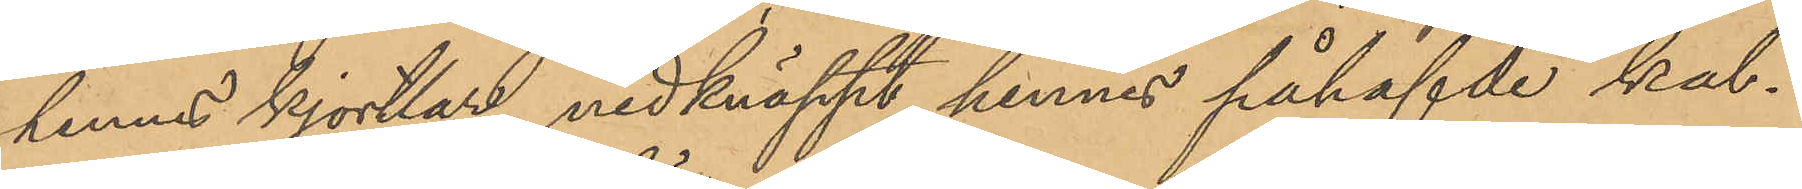hennes kjortlar, nedknäppt hennes påhafvde kal¬
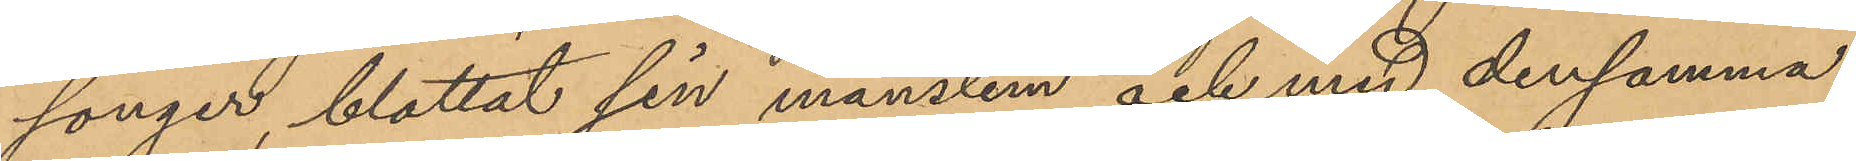songer, blottat sin manslem och med densamma
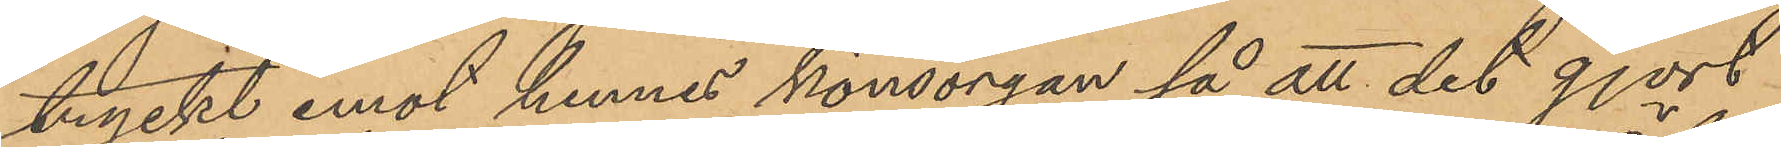tryckt emot hennes könsorgan så att det gjort
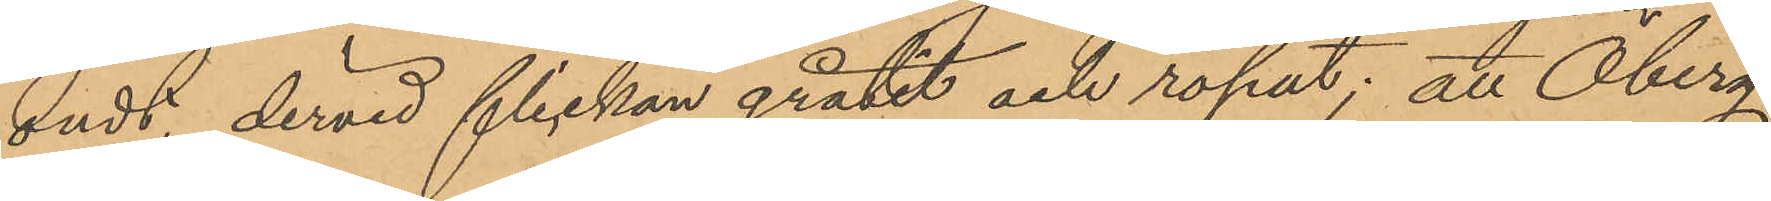ondt, dervid flickan gråtit och ropat; att Öberg
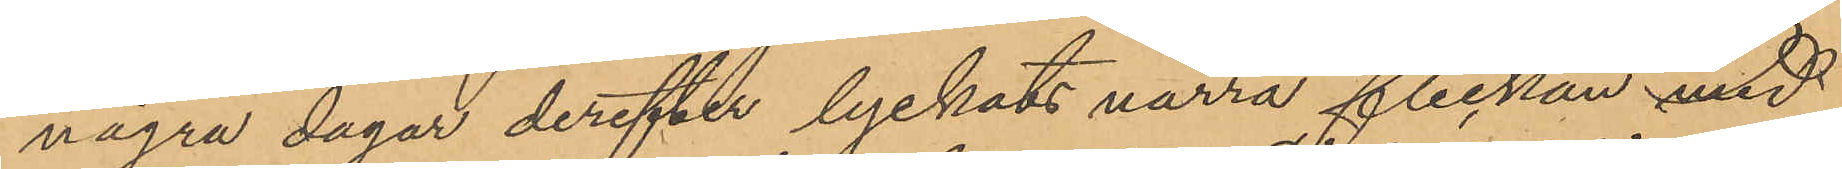några dagar derefter lyckats narra flickan med
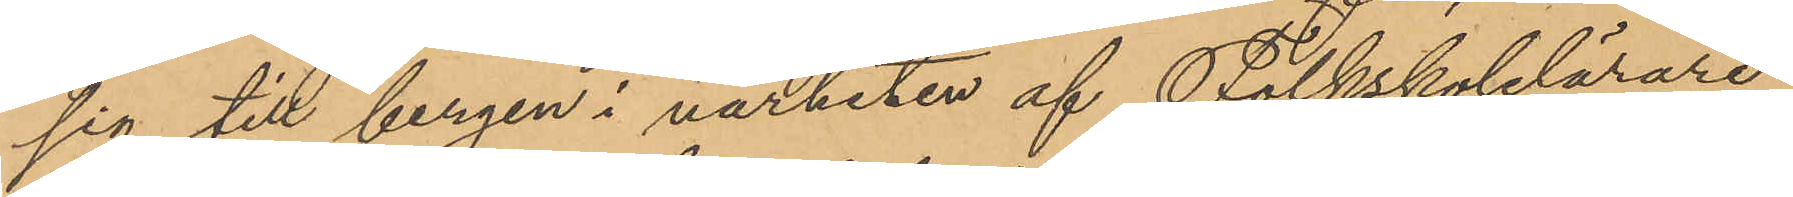sig till bergen i närheten af Folkskolelärare
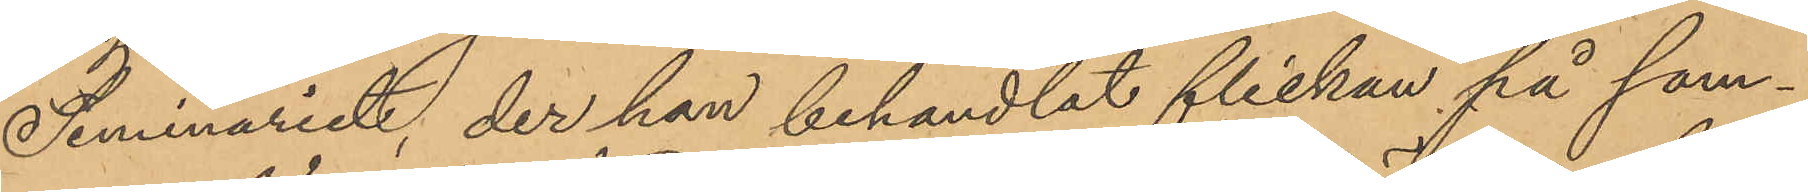Seminariet, der han behandlat flickan på sam¬
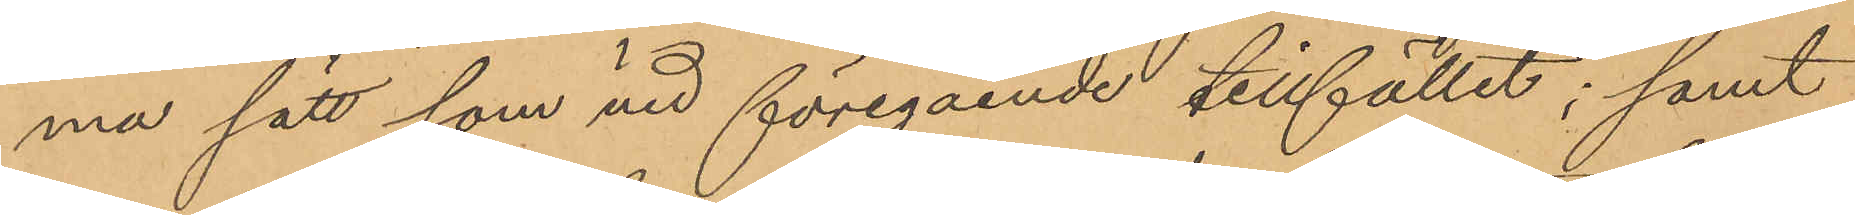ma sätt som vid föregående tillfället; samt
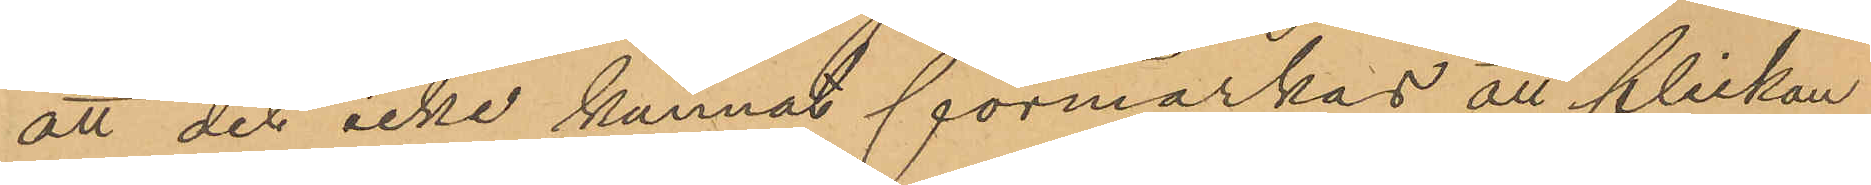att det icke kunnat förmärkas att flickan
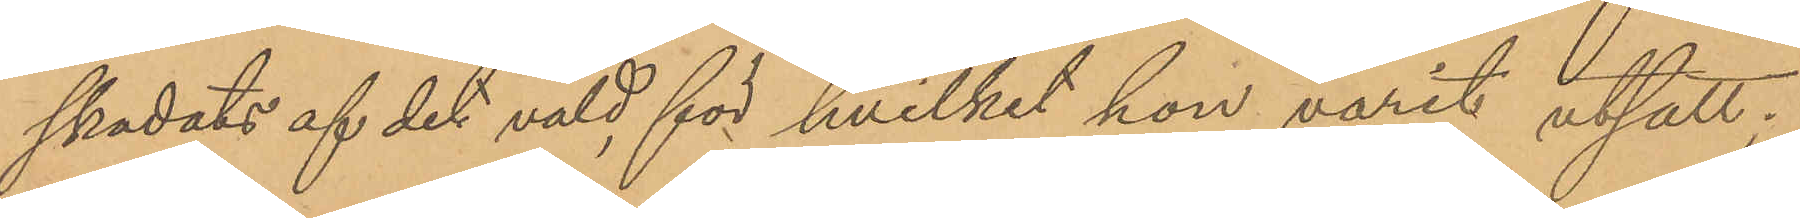skadats af det våld, för hvilket hon varit utsatt;
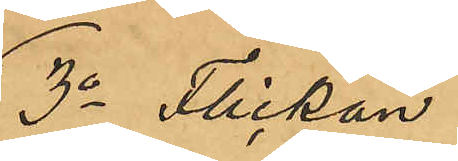3o Flickan
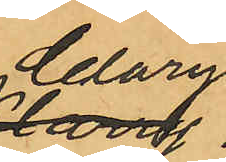Clary
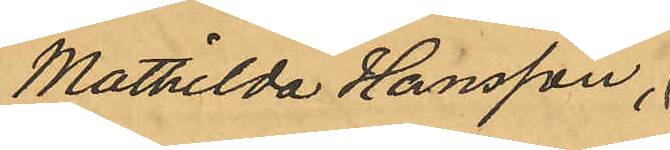Mathilda Hansson,
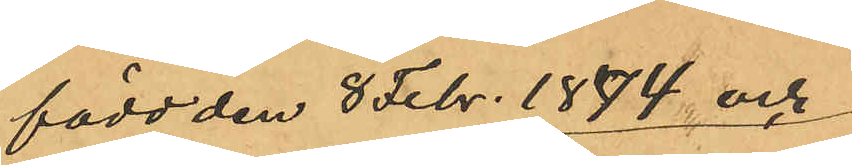född den 8 Febr. 1874 och
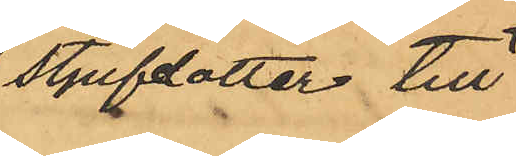stjyfdotter till
